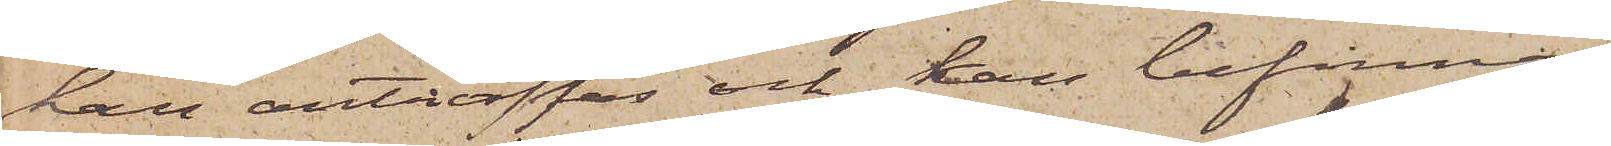han anträffas och kan befinnas
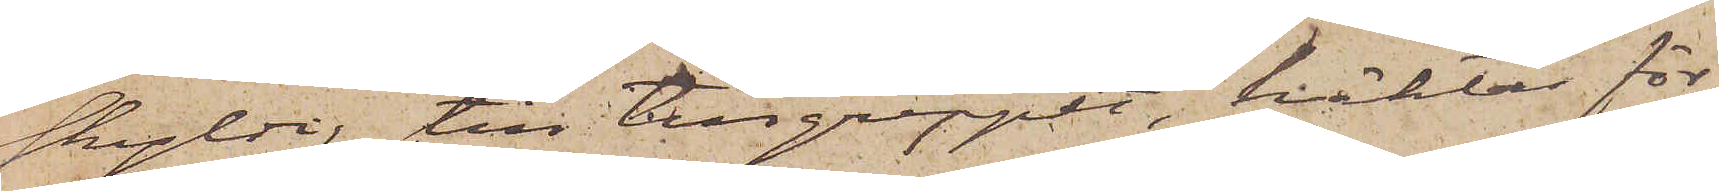skyldig till tillgreppet, häktas för
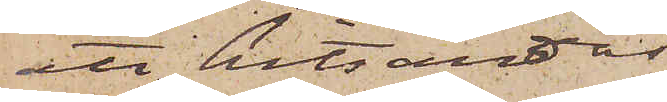att hitsändas
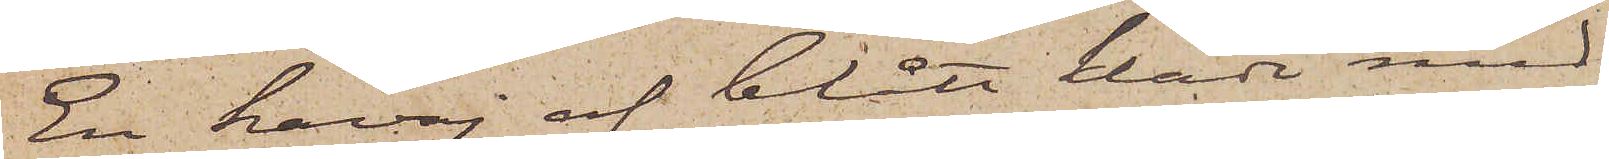En kavaj af blått kläde med
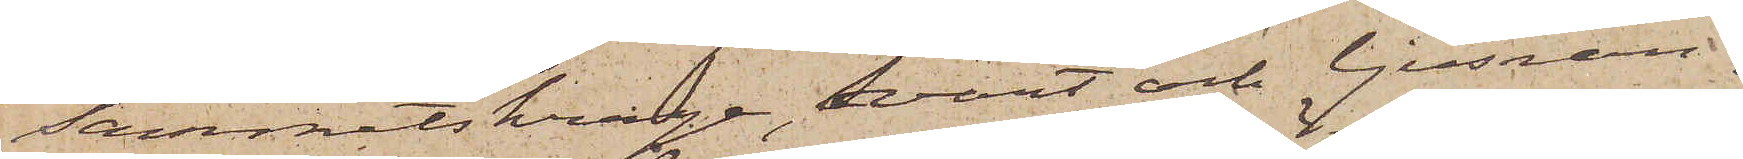sammetskrage, Svart och ljusran¬
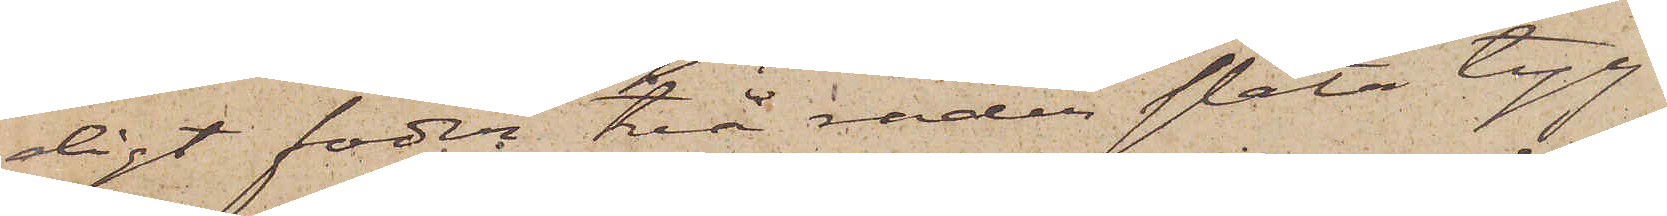digt foder, två rader släta tyg¬
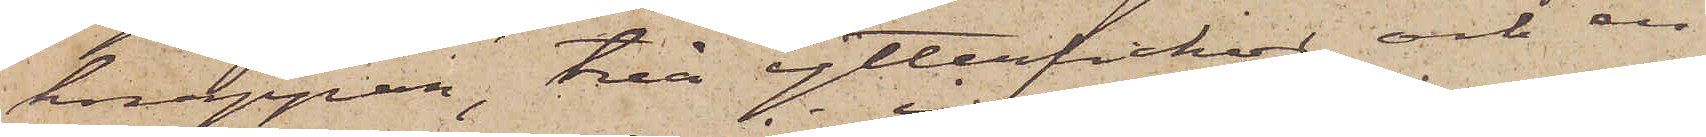knappar, två ytterfickor och en
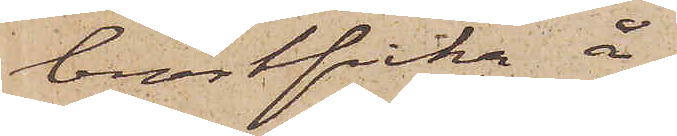bröstficka å
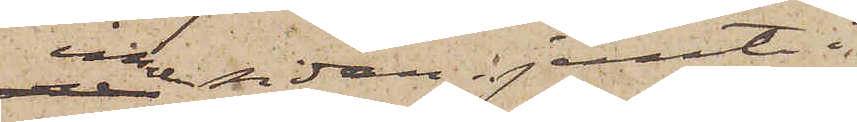innersidan jemte i
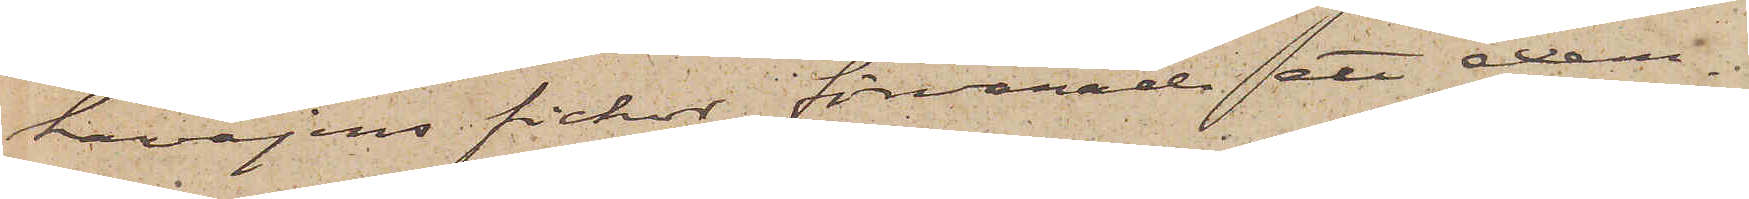kavajens fickor förvarade ett exem¬
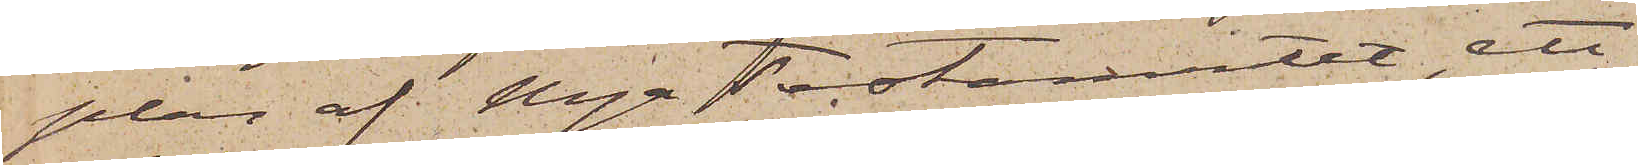plar af Nya testamentet, ett
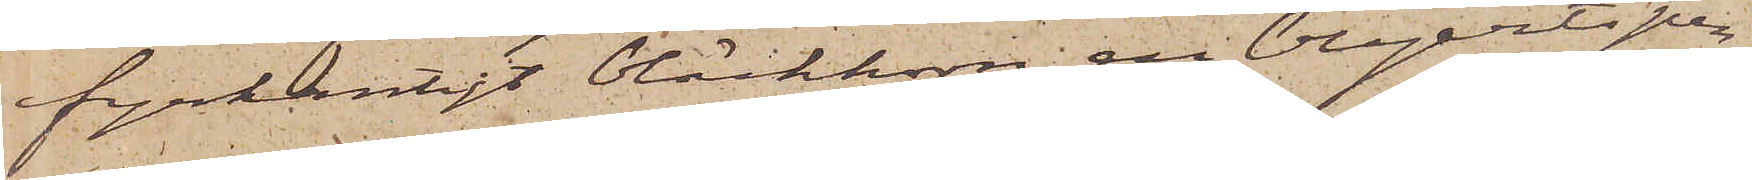fyrkantigt bläckhorn, en blyertspen¬
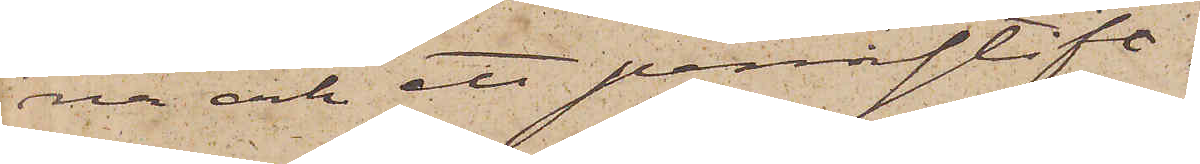na och ett pennstift.
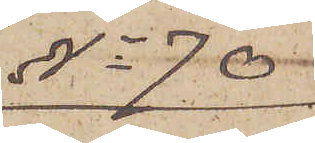No 70
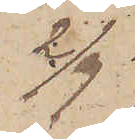2/9
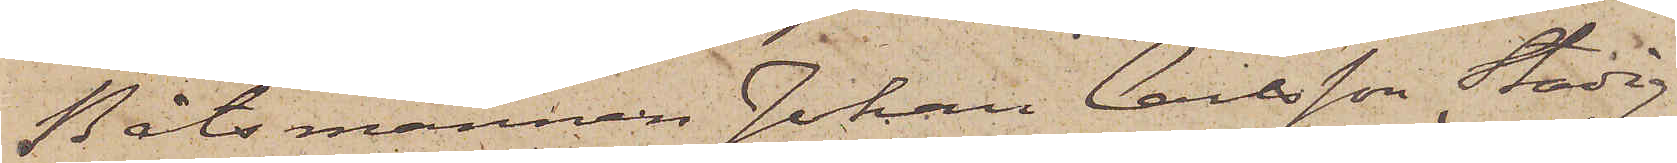Båtsmannen Johan Carlsson Stadig
